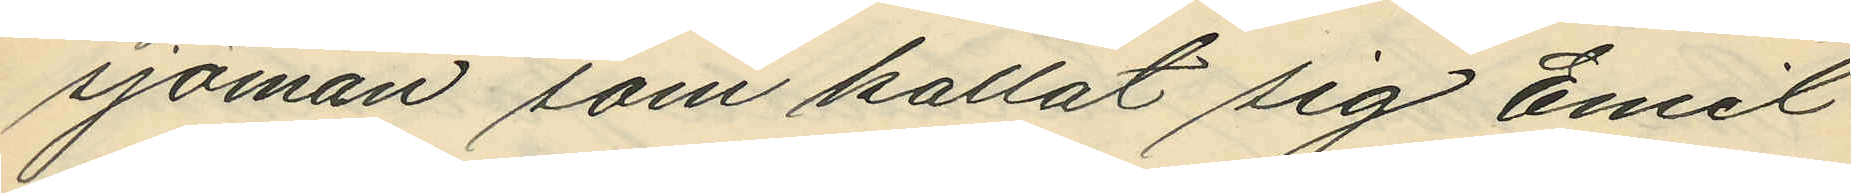sjöman som kallat sig Emil
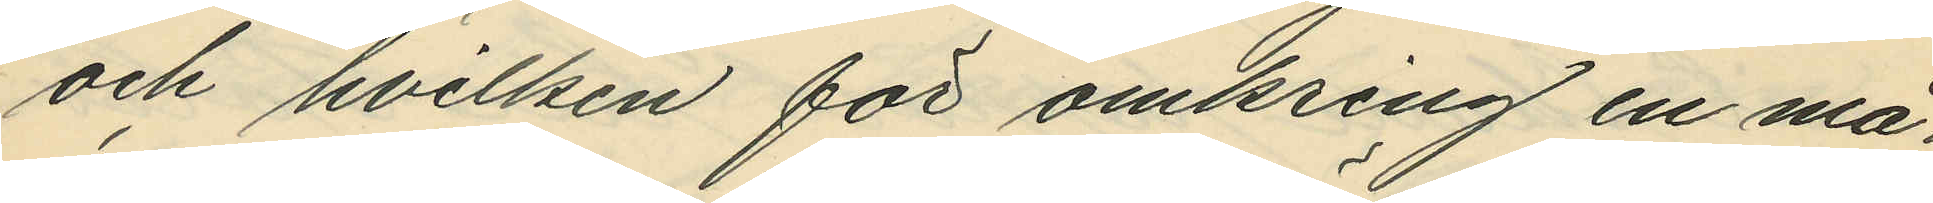och hvilken för omkring en må¬
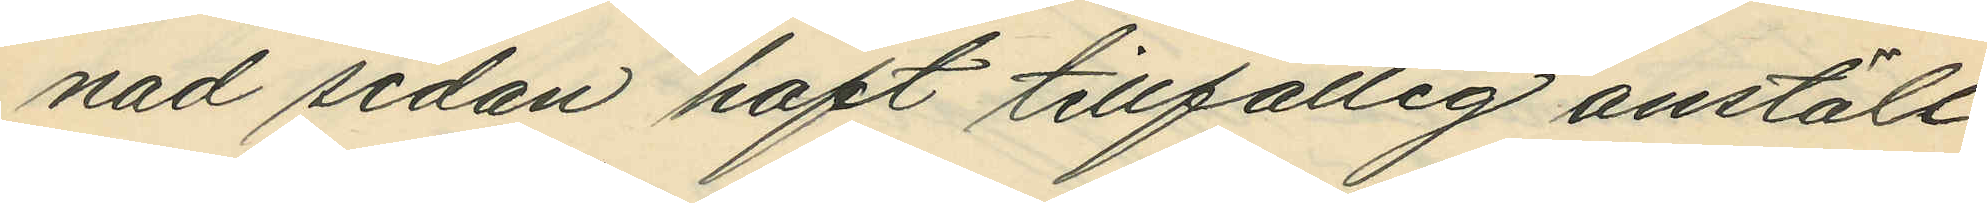nad sedan haft tillfällig anställ¬
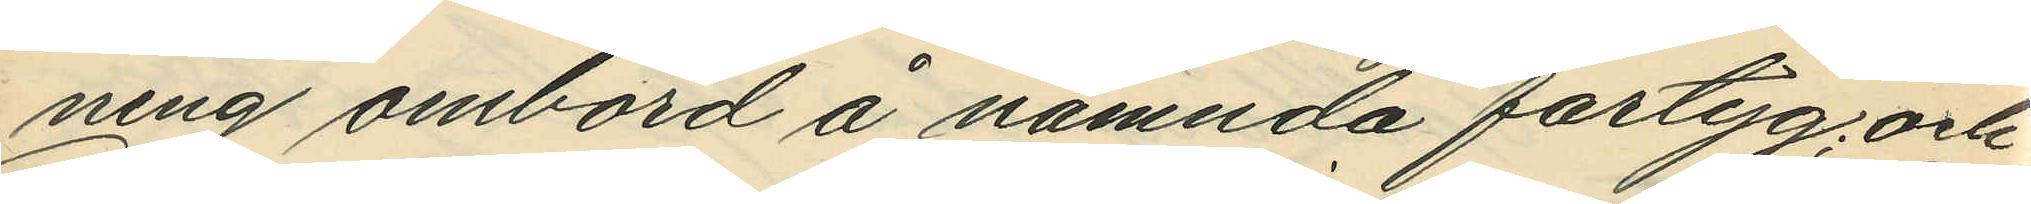ning ombord å nämnda fartyg; och
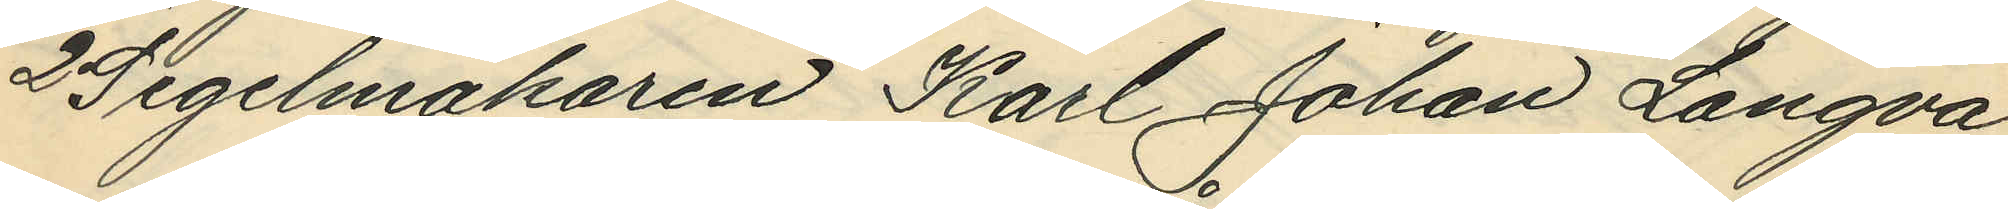2o Segelmakaren Karl Johan Langva,
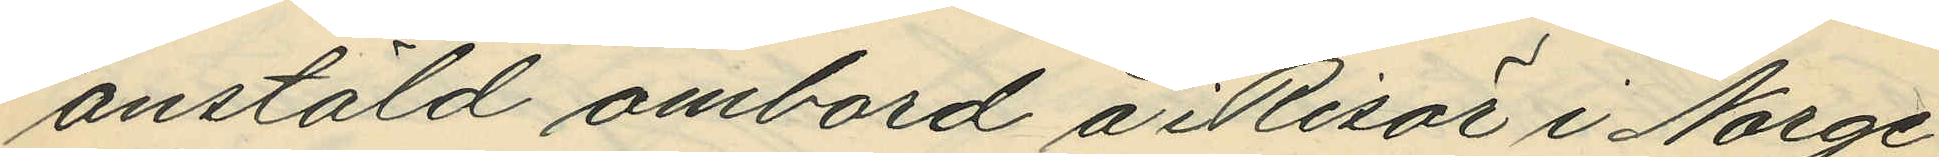anstäld ombord å i Risör i Norge
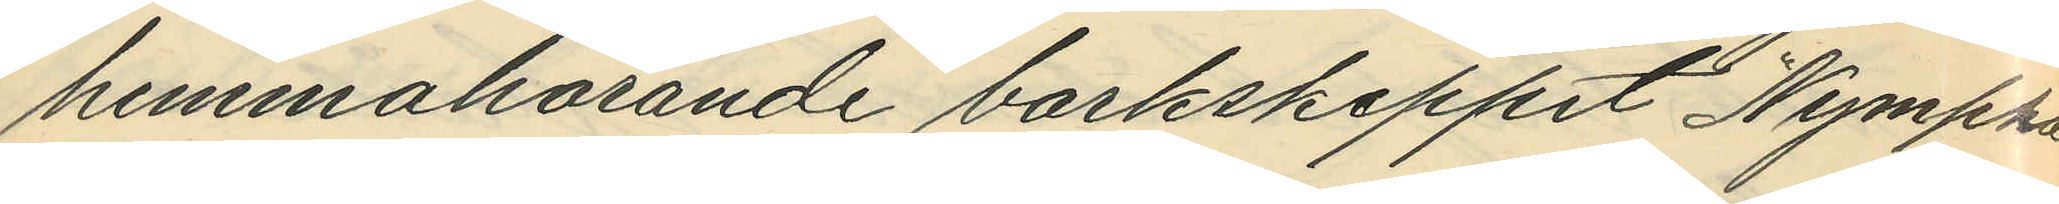hemmahörande barkskeppet "Nympha
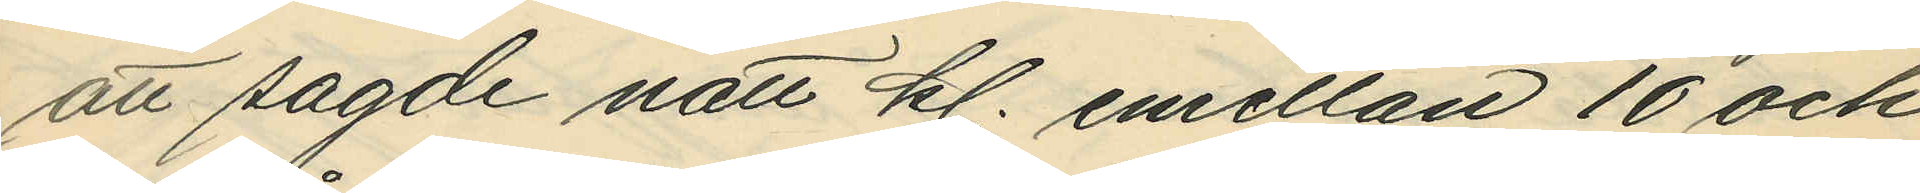att sagde natt kl. emellan 10 och
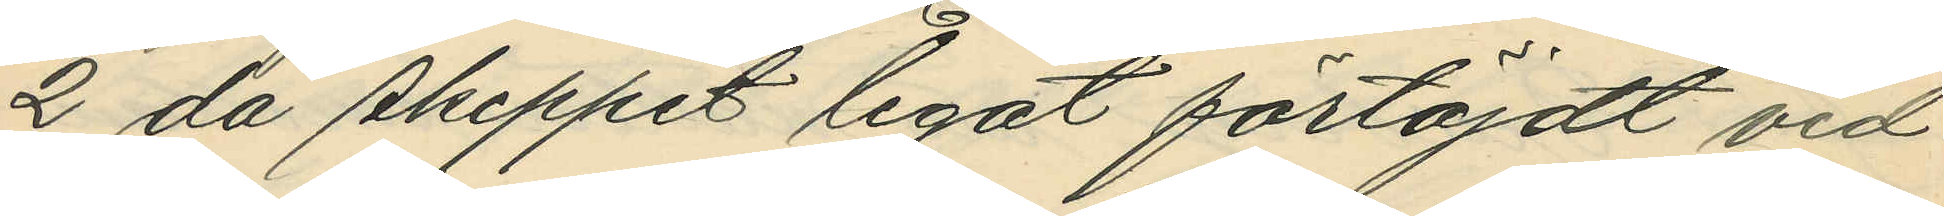2 då skeppet legat förtöjdt vid
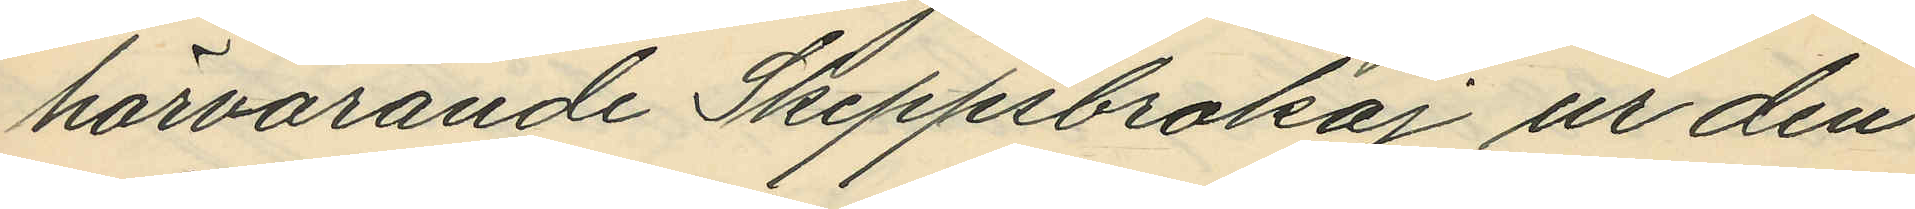härvarande Skeppsbrokaj ur den
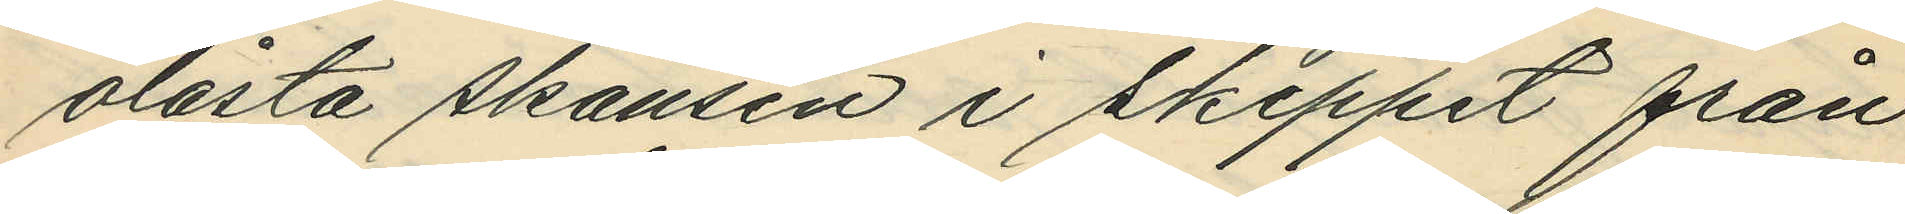olåsta skansen i skeppet från
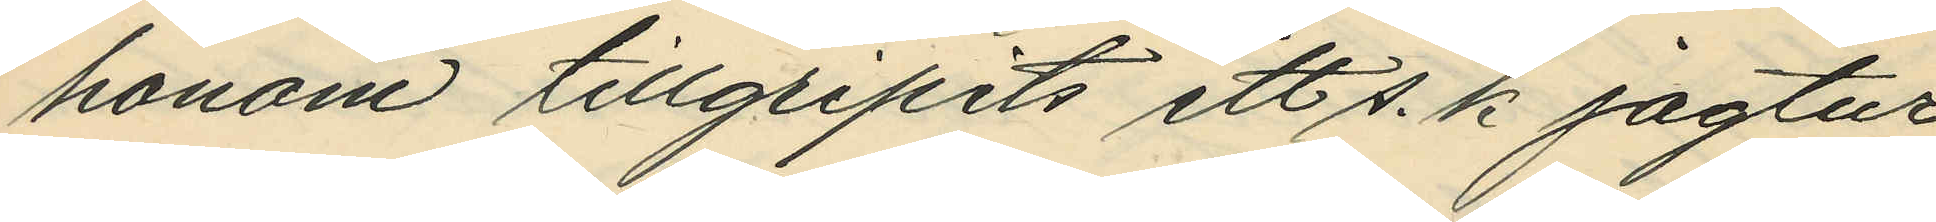honom tillgripits ett s. k jagtur
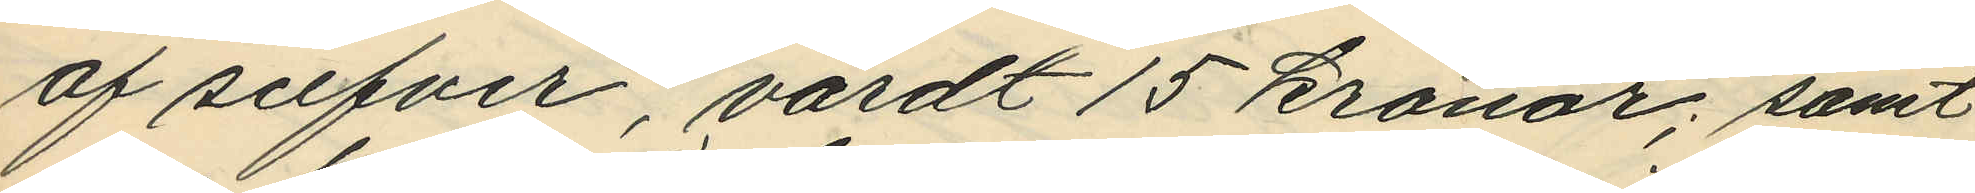af silfver, värdt 15 kronor; samt
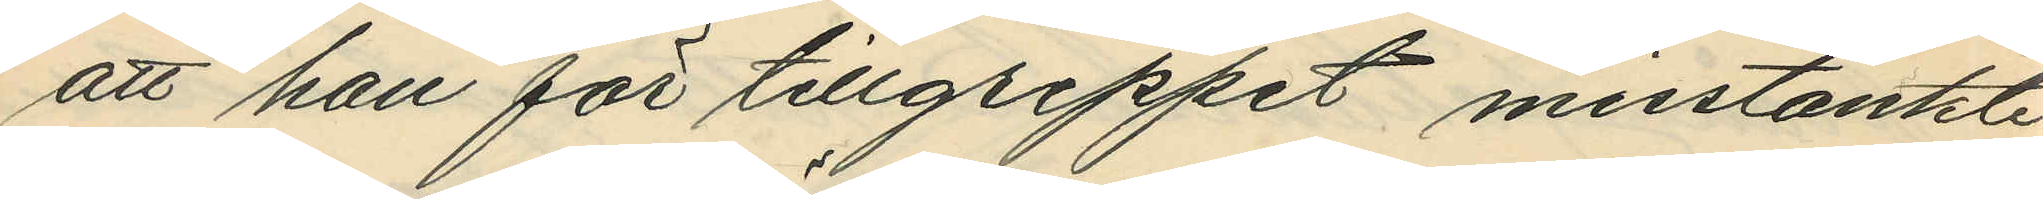att han för tillgreppet misstänkte
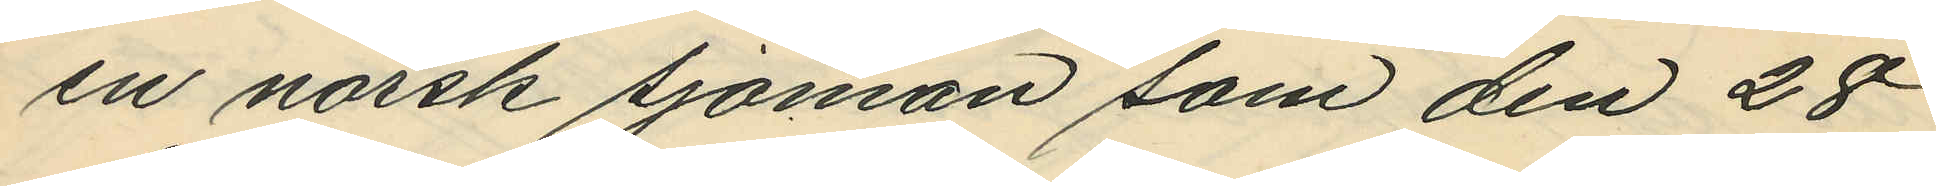en norsk sjöman som den 28
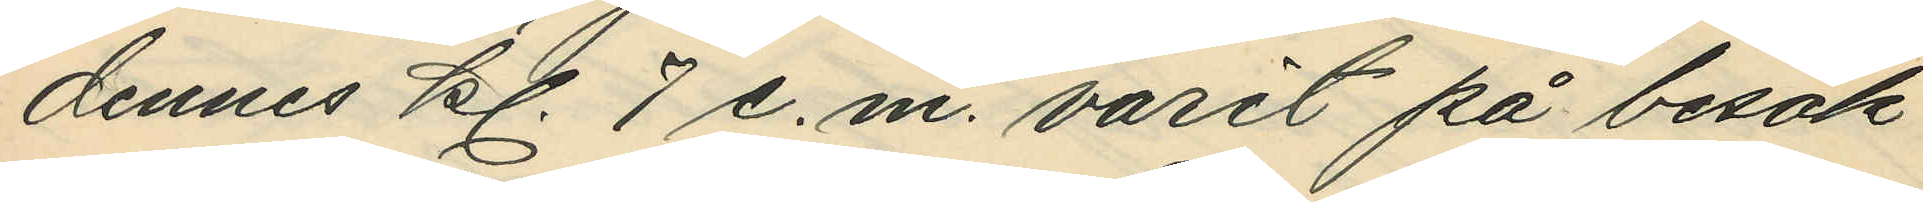dennes kl. 7 e.m. varit på besök
